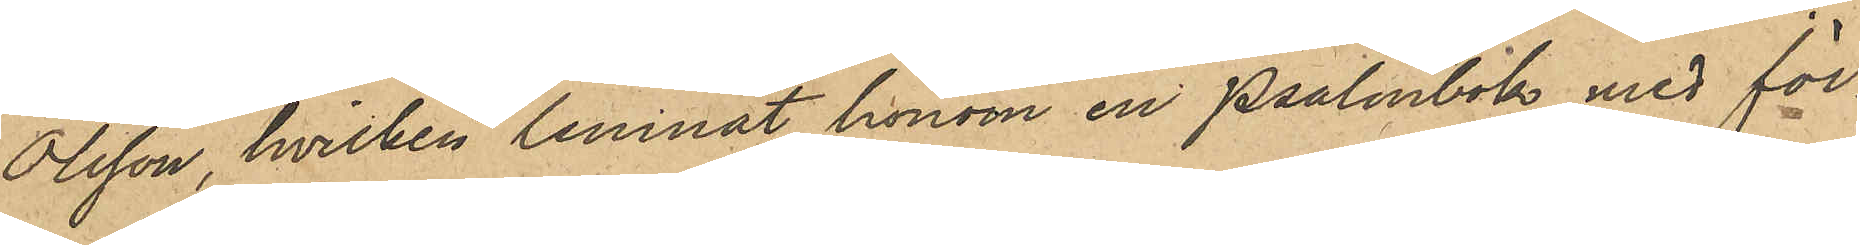Olsson, hvilken lemnat honom en Psalmbok med för¬
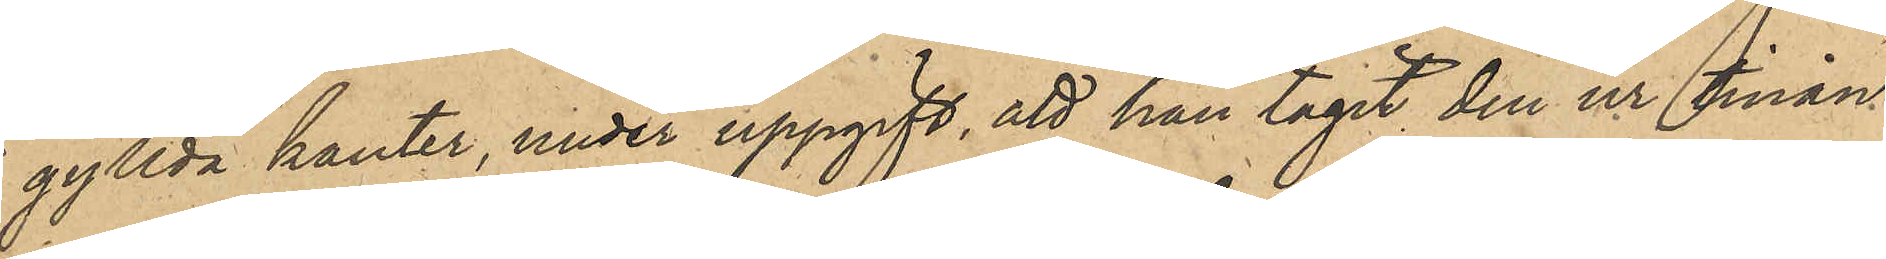gyllda kanter, under uppgift, att han tagit den ur tinan
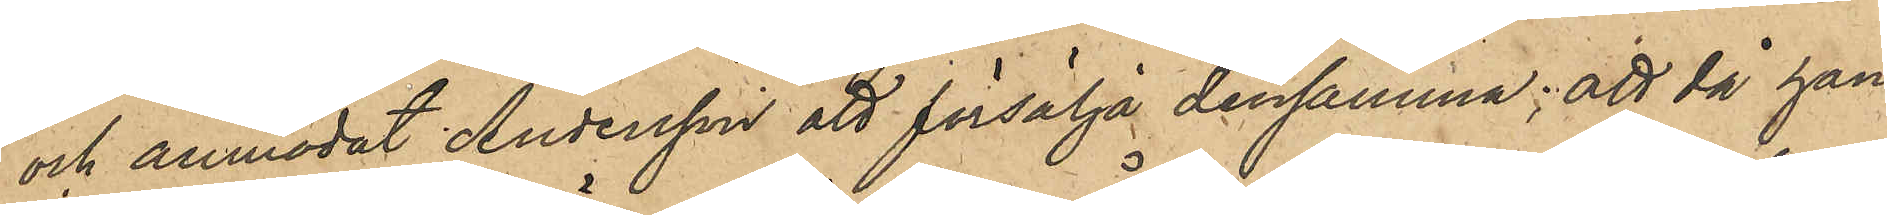och anmodat Andersson att försälja densamma; att då han
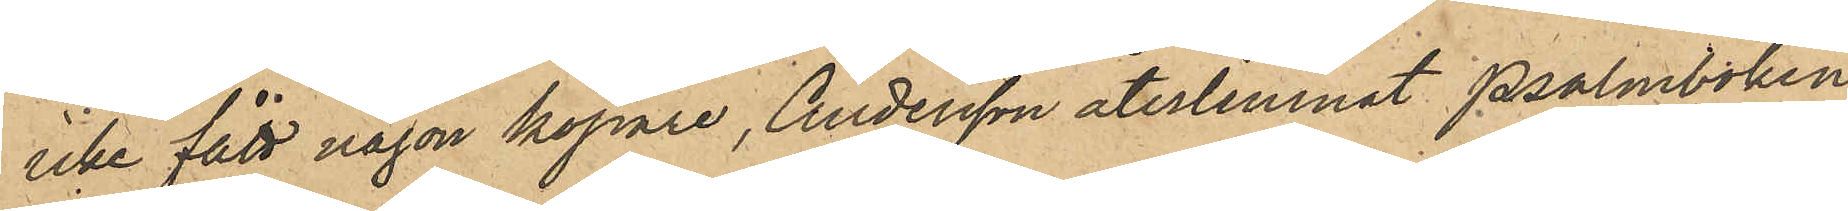icke fått någon köpare, Andersson återlemnat Psalmboken
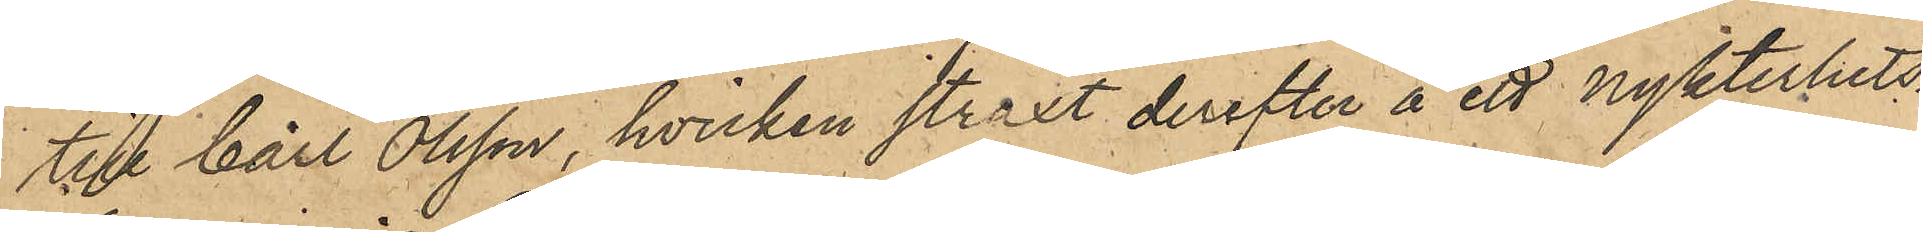till Carl Olsson, hvilken straxt derefter å ett nykterhets¬
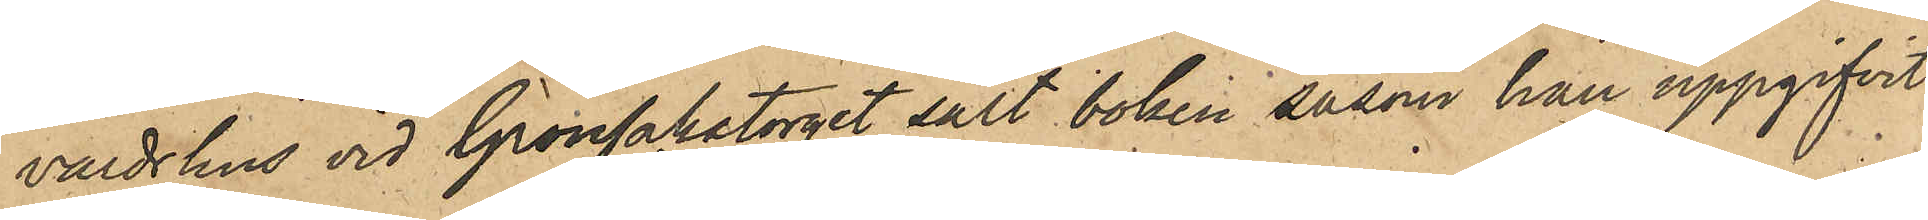värdshus vid Grönsakstorget sålt boken såsom han uppgifvit
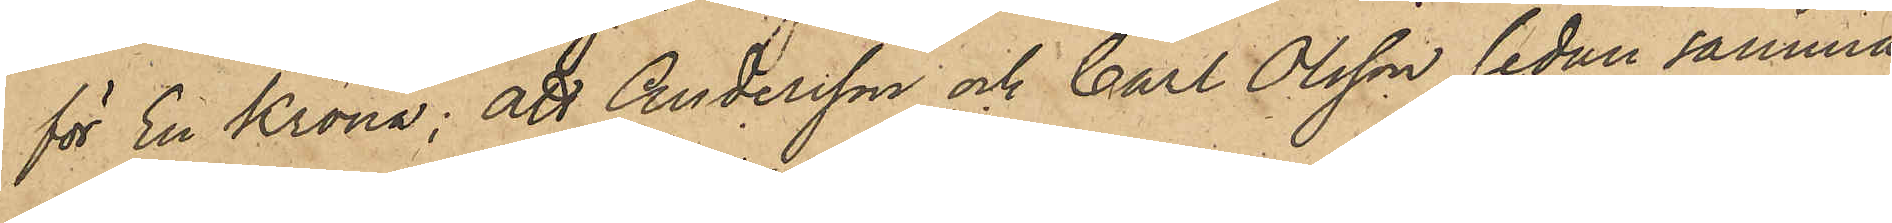för En Krona; att Andersson och Carl Olsson sedan samma
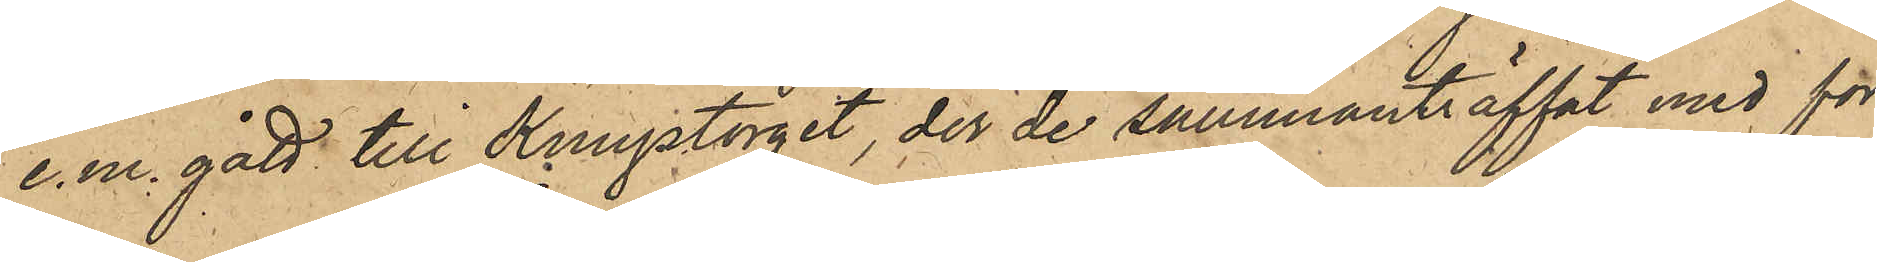e.m. gått till Kungstorget, der de sammanträffat med för
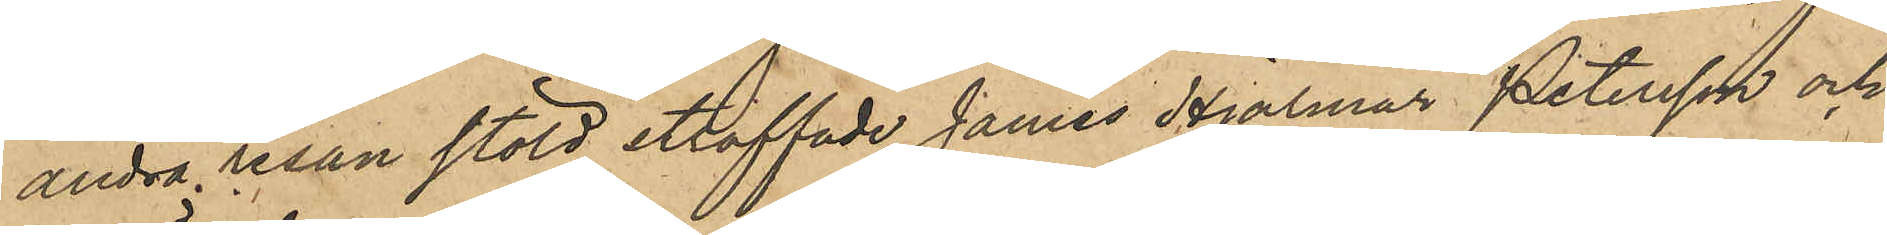andra resan stöld straffade James Hjalmar Petersson och
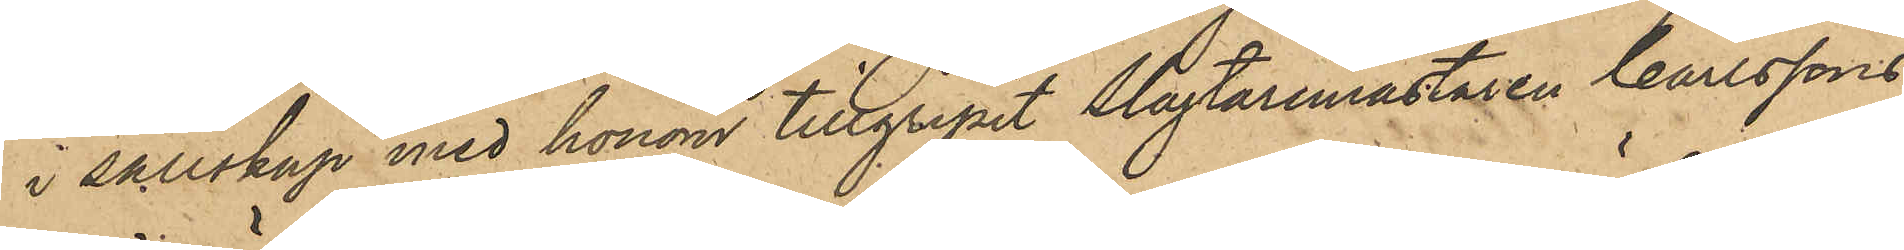i sällskap med honom tillgripit Slagtarmästaren Carlssons
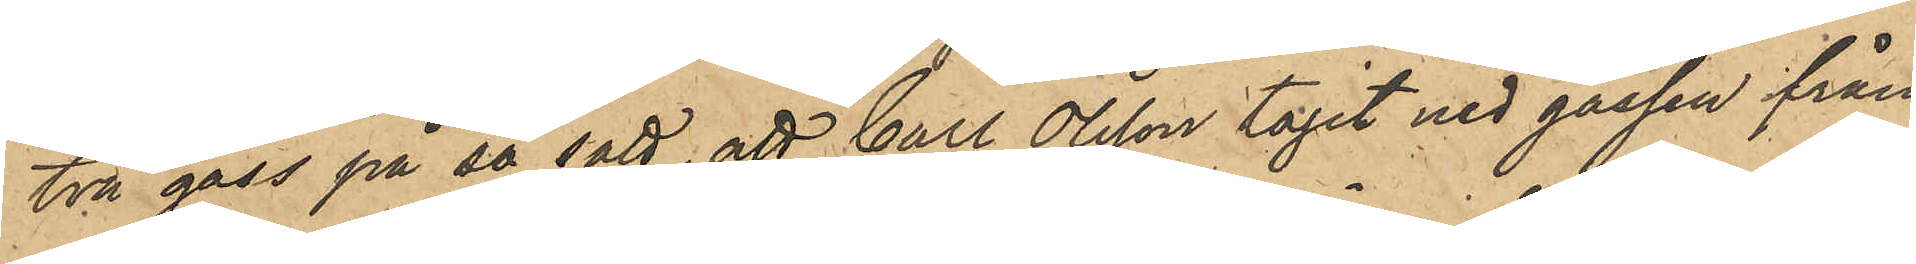två gäss på så sätt, att Carl Olsson tagit ned gässen från
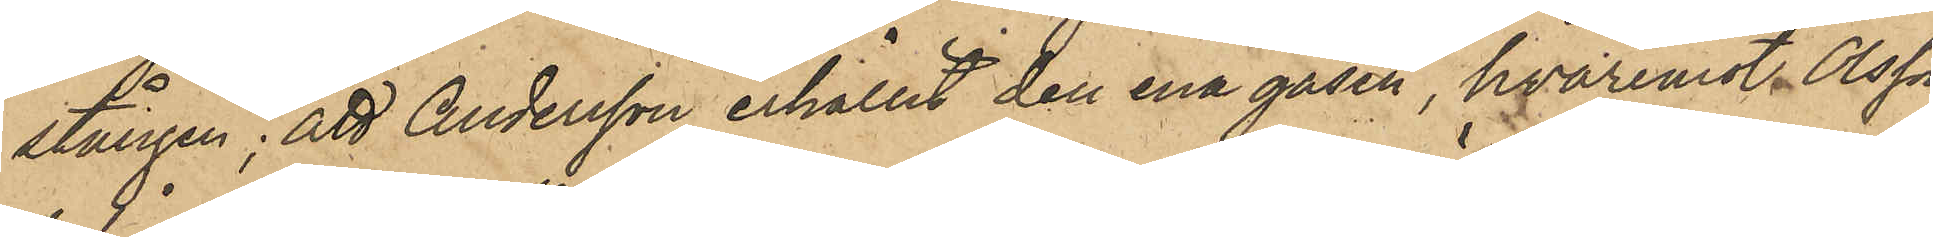stången; att Andersson erhållit den ena gåsen, hvaremot Olsson
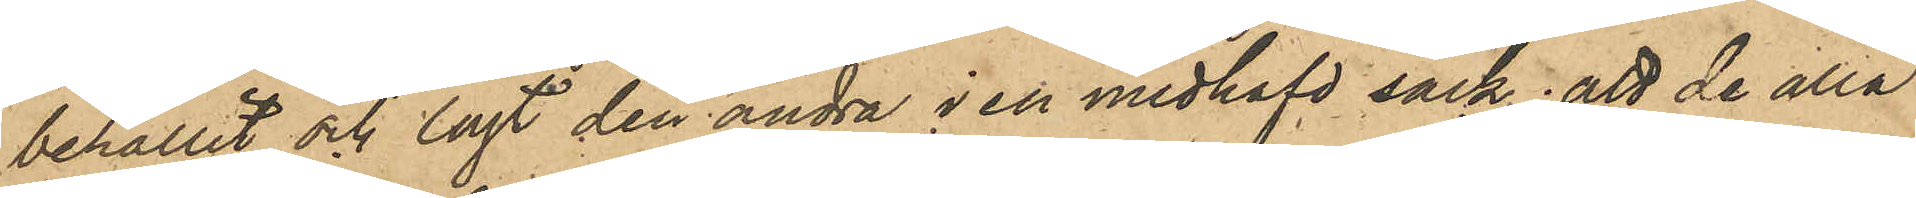behållit och lagt den andra i en medhafd säck; att de alla
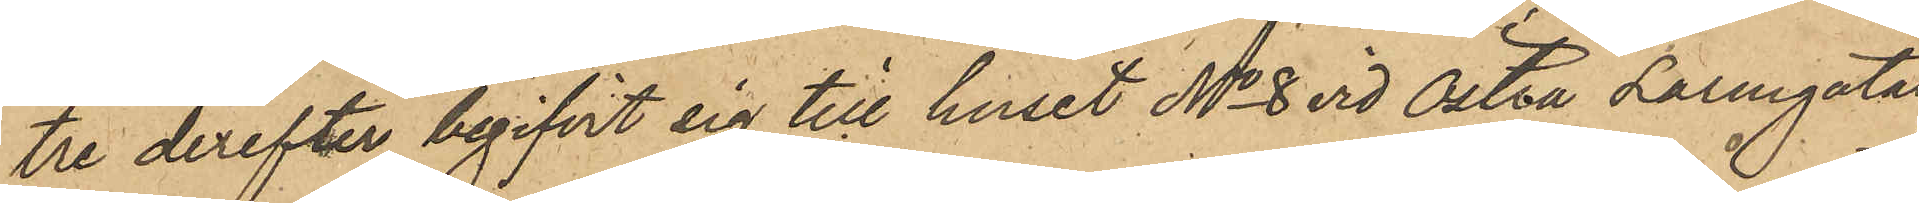tre derefter begifvit sig till huset No 8 vid Östra Hamngatan,
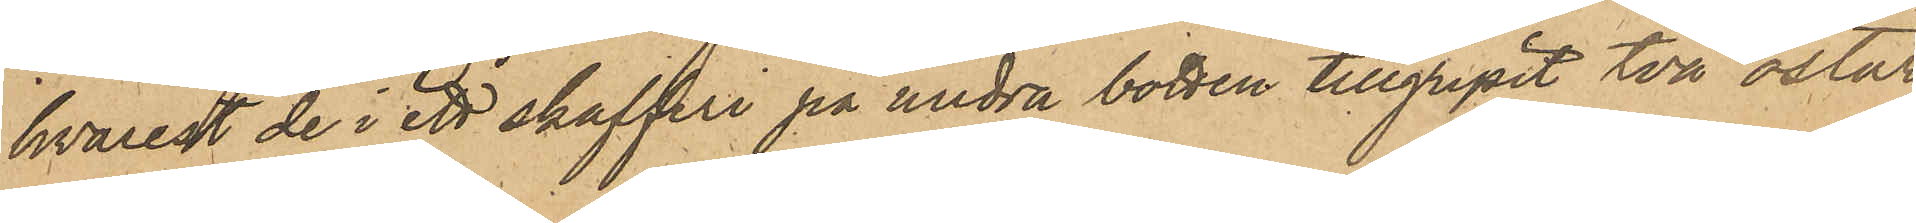hvarest de i ett skafferi på undra botten tillgripit två ostar,
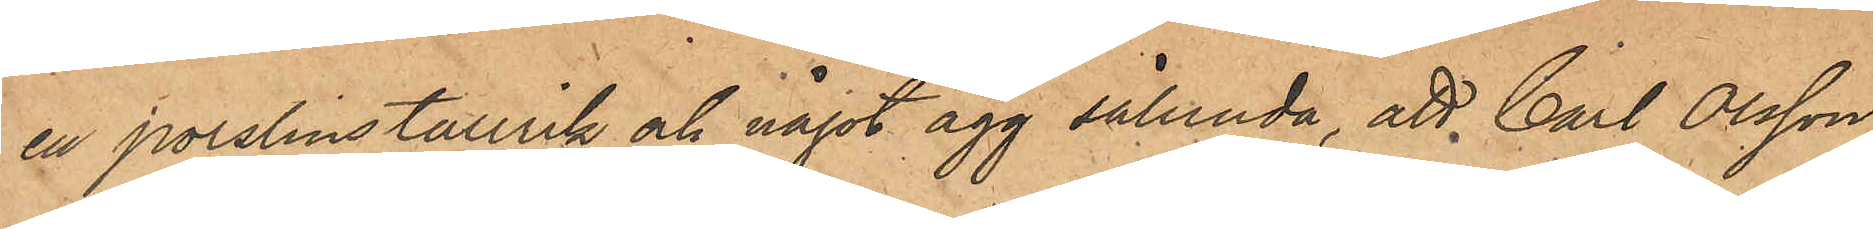en porslinstallrik och något ägg sålunda, att Carl Olsson,
